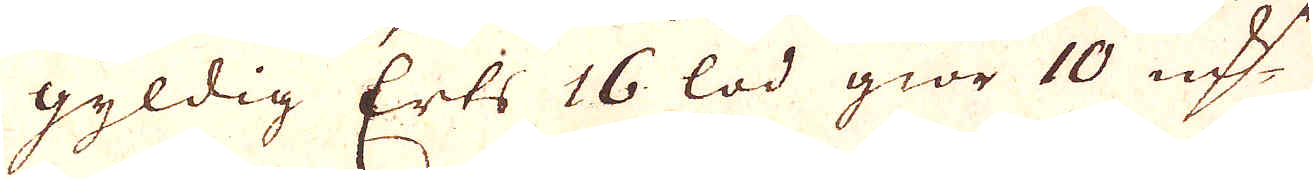gyldig Erts 16 lod giör 10 qv:r
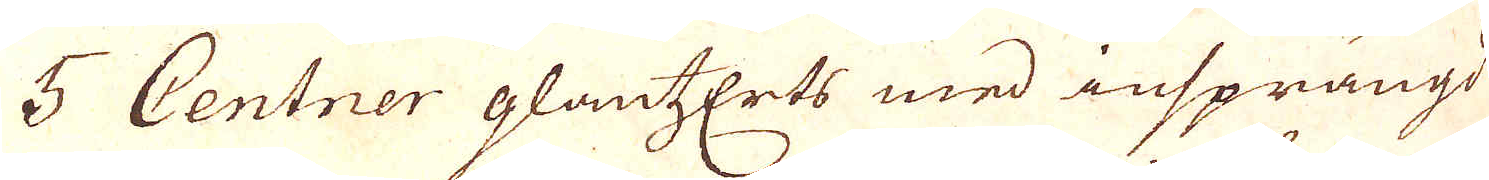5 Centner glantzEerts med insprängd
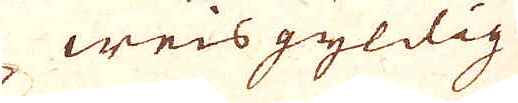weisgyldig
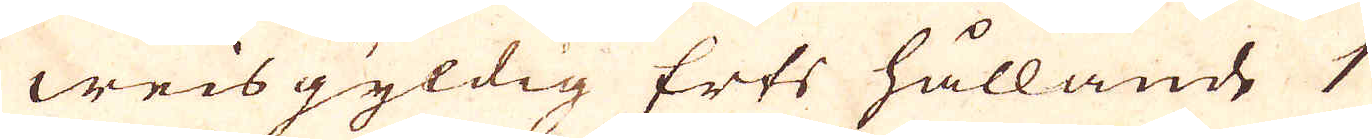weisgyldig Erts hållande 1
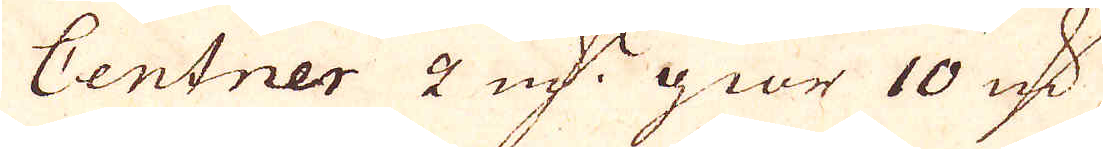Centner 2 qv:r giör 10 qv:r
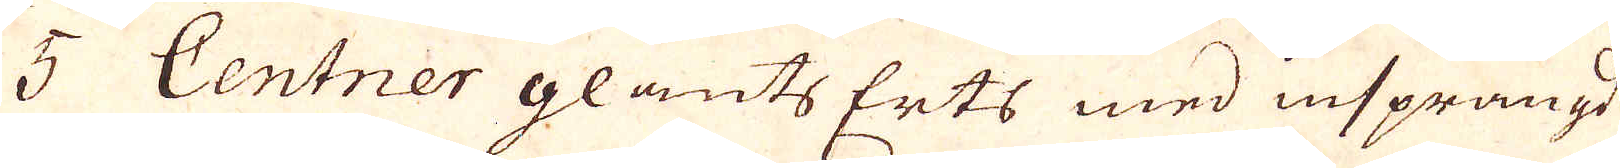3 Centner glants Erts med insprängd
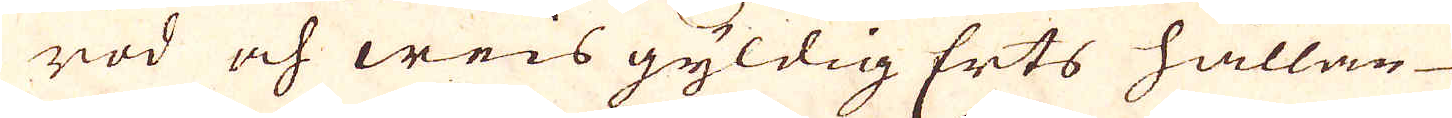röd och weis gyldig Erts hållan
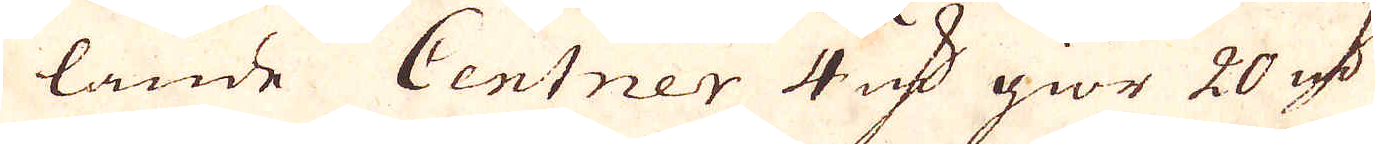lande Centner 4 qv:r giör 20 qv:r
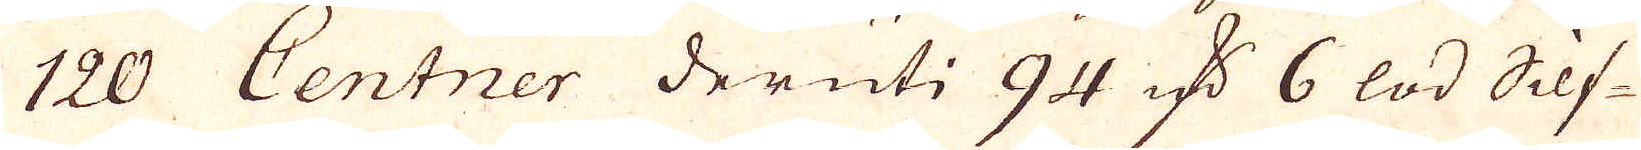120 Centner deruti 94 qv:r 6 lod Silf-
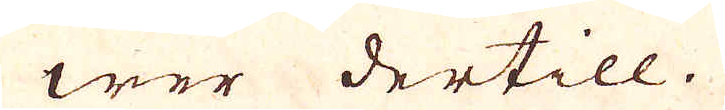wer dertill.
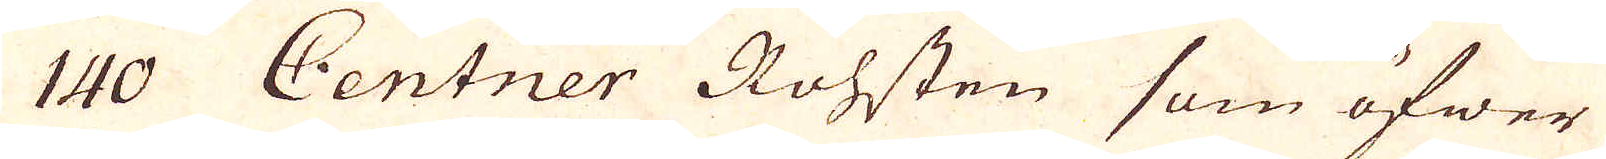140 Centner Rohsten som öfwer
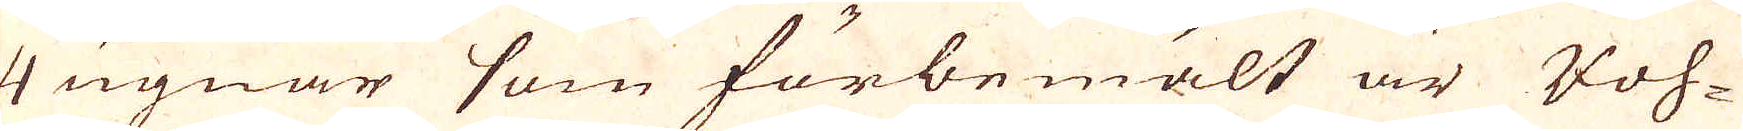4 ugnar som förbemält är Voh-
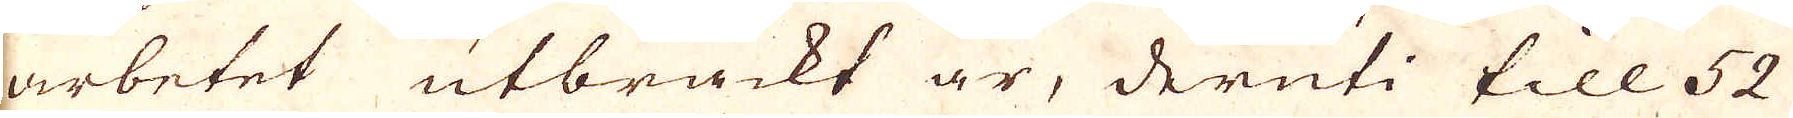arbetet utbräckt är, deruti till 52
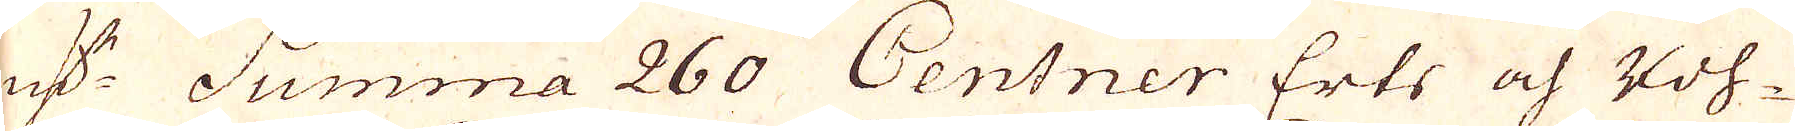qv:r Summa 260 Centner Erts och Kol-
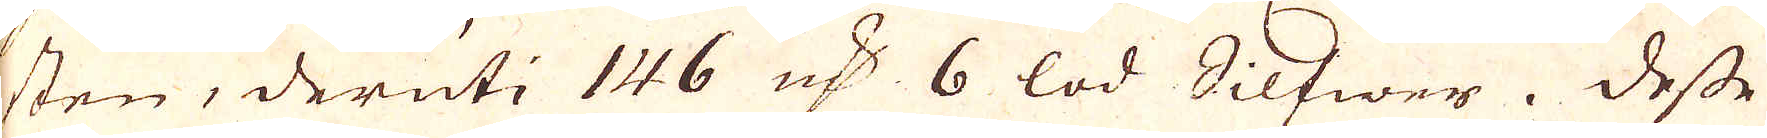sten, deruti 146 qv:r 6 lod Silfwer. Desse
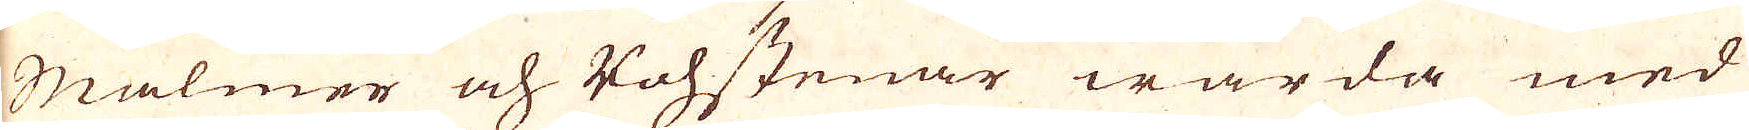Malmer och Vohstenar warda med
